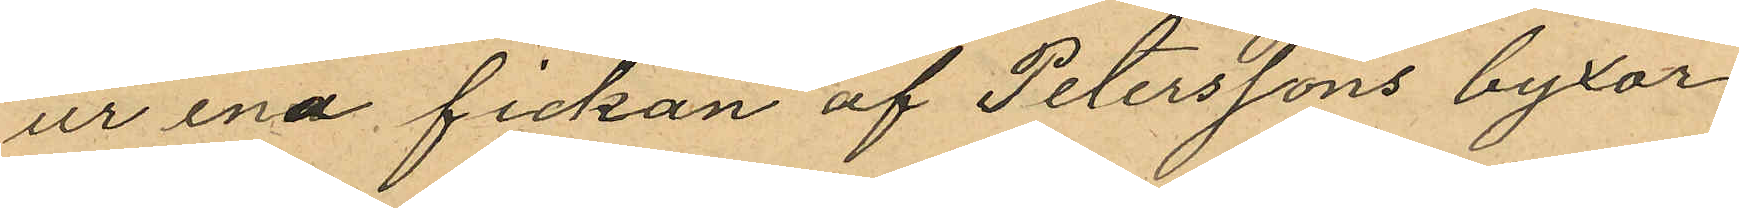ur ena fickan af Peterssons byxor
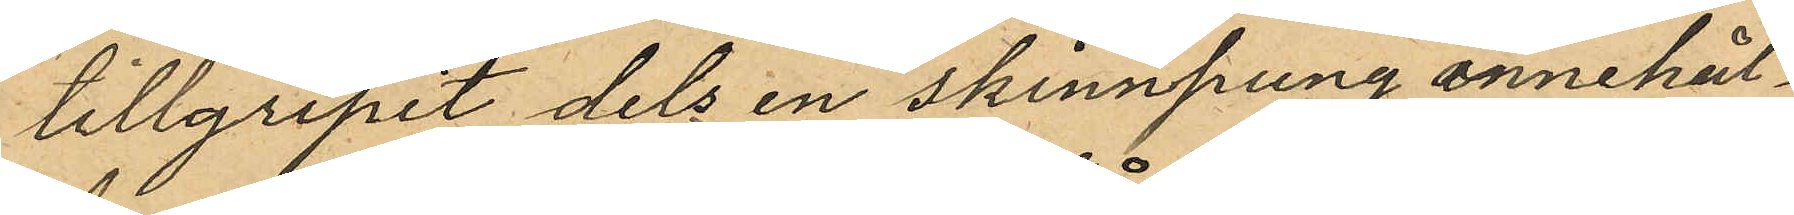tillgripit dels en skinnpung innehål¬
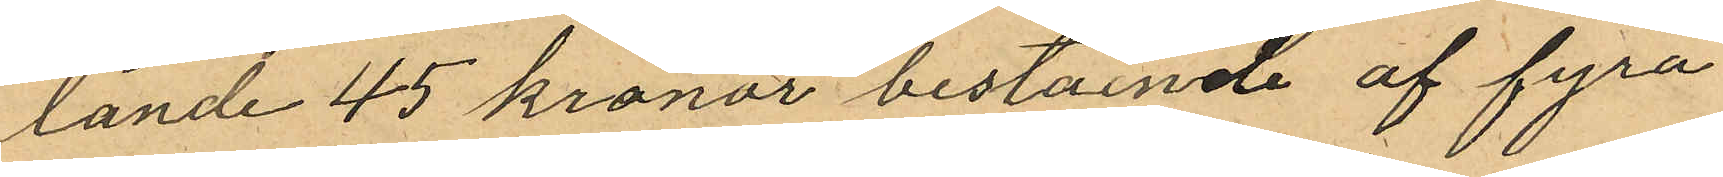lande 45 kronor bestående af fyra
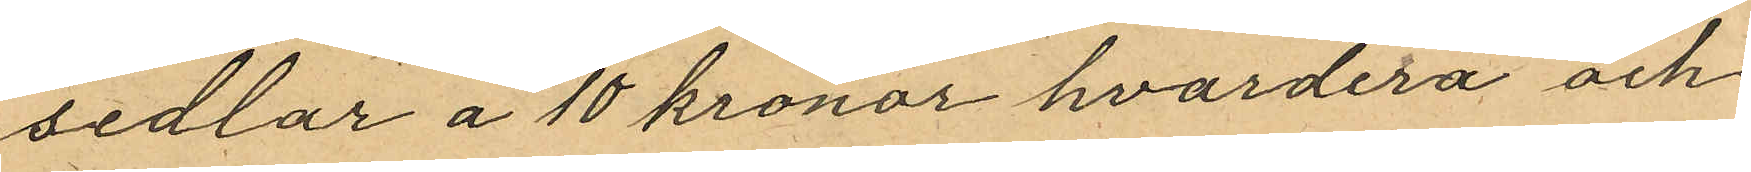sedlar å 10 kronor hvardera och
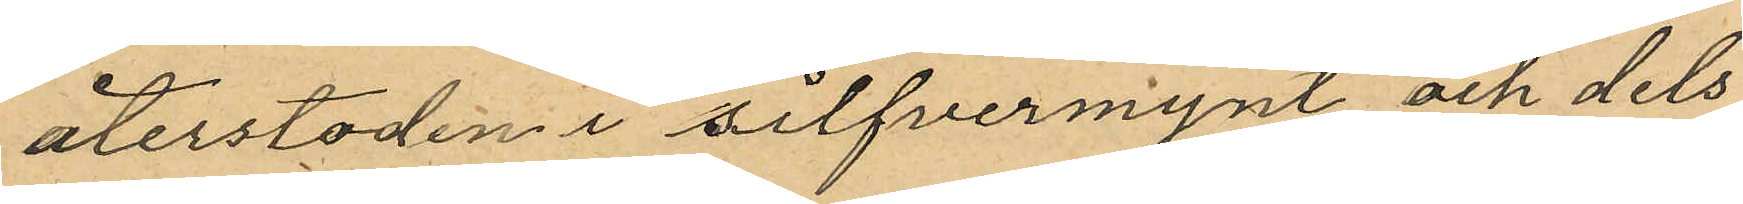återstoden i silfvermynt och dels
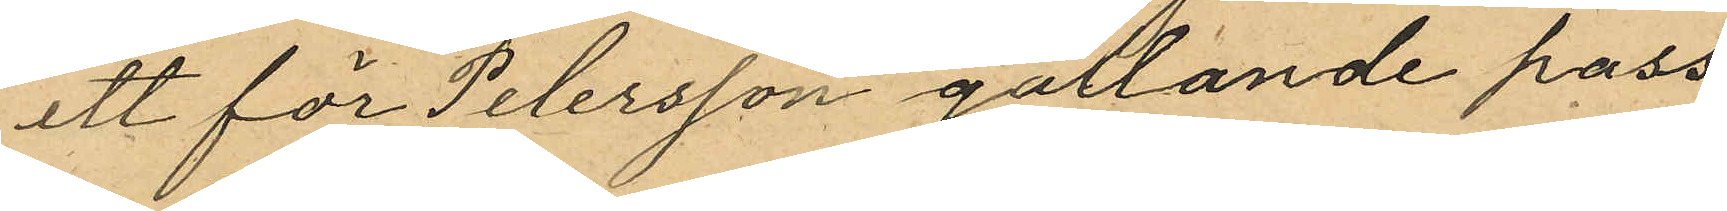ett för Petersson gällande pass
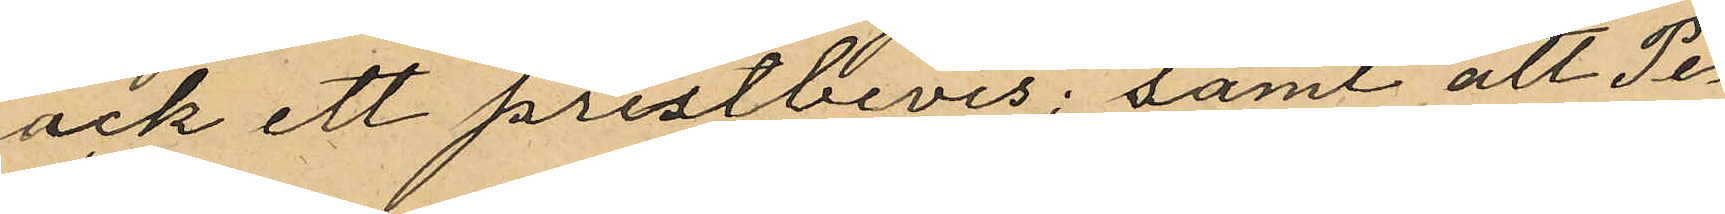ock ett prestbevis; samt att Pe¬
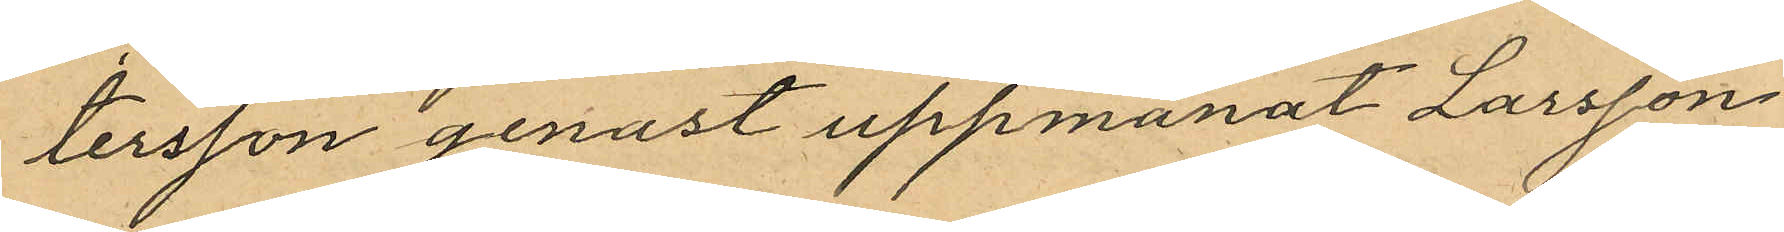tersson genast uppmanat Larsson
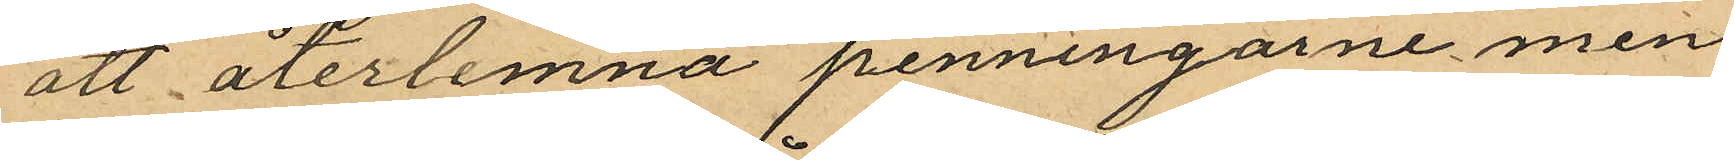att återlemna penningarne men
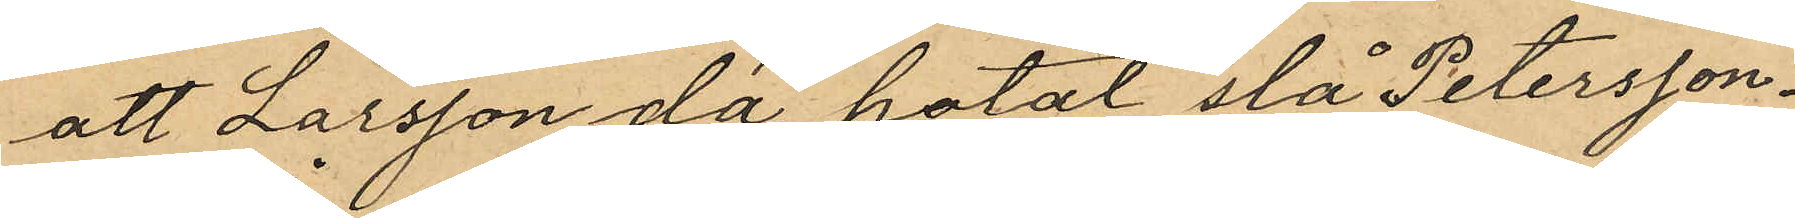att Larsson då hotat slå Petersson.
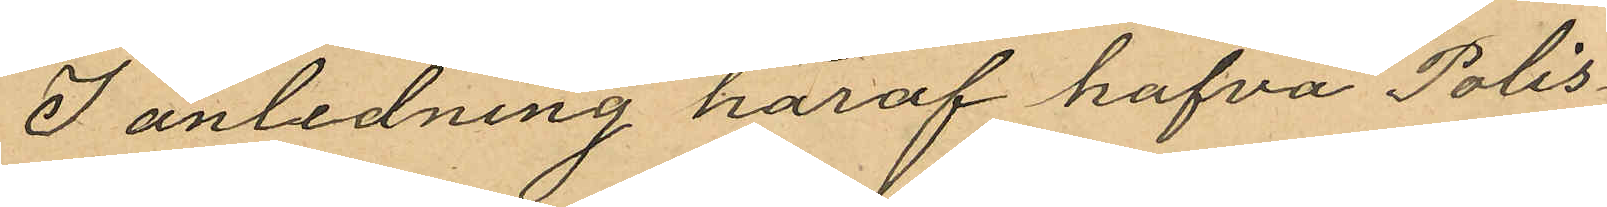I anledning häraf hafva Polis¬
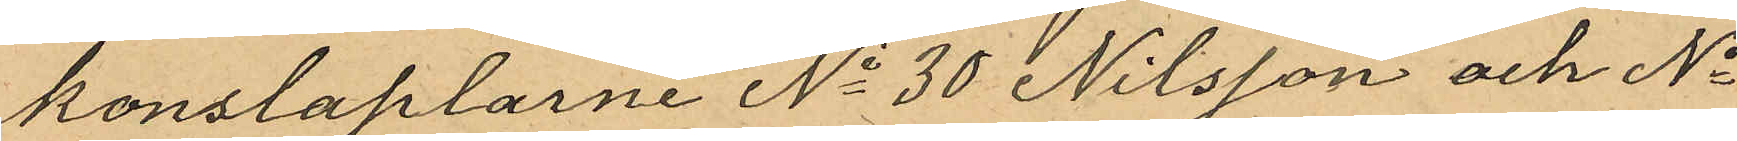konstaplarne No 30 Nilsson och No
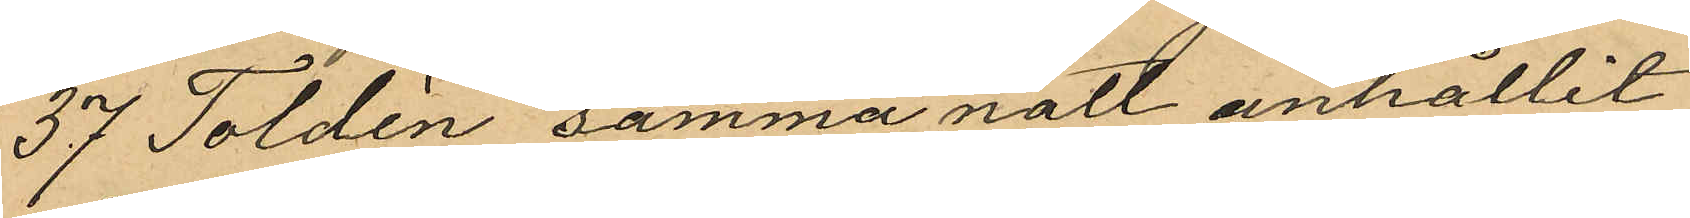37 Toldén samma natt anhållit
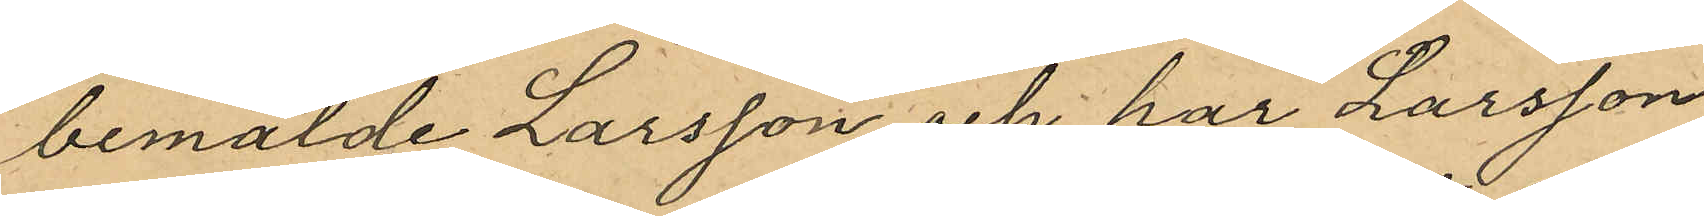bemälde Larsson och har Larsson
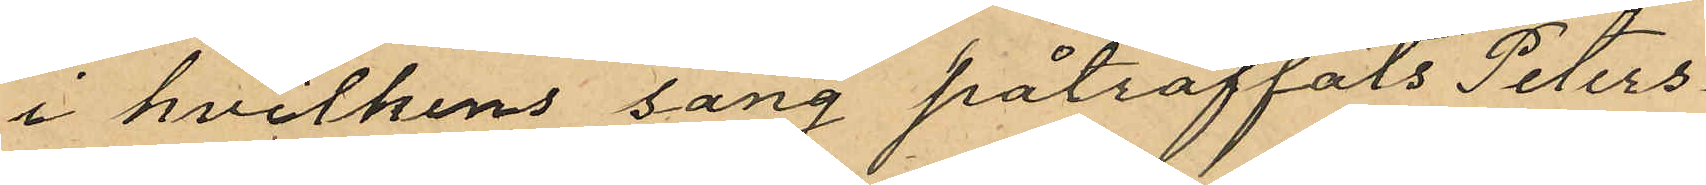i hvilkens säng påträffats Peters¬
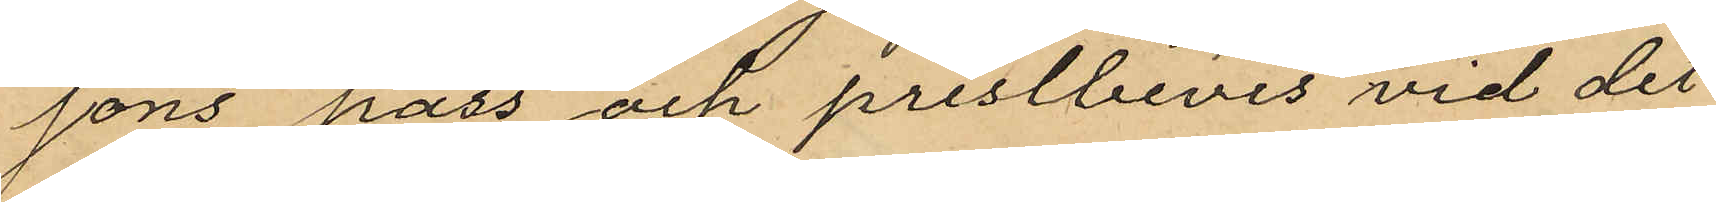sons pass och prestbevis vid det
